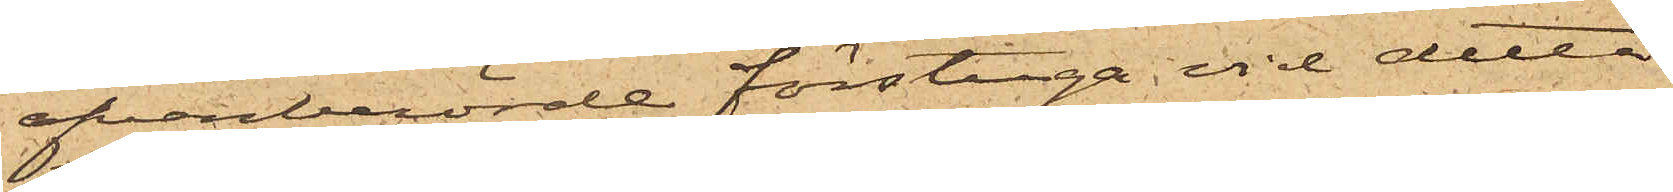ofvanberörde förstuga vid detta
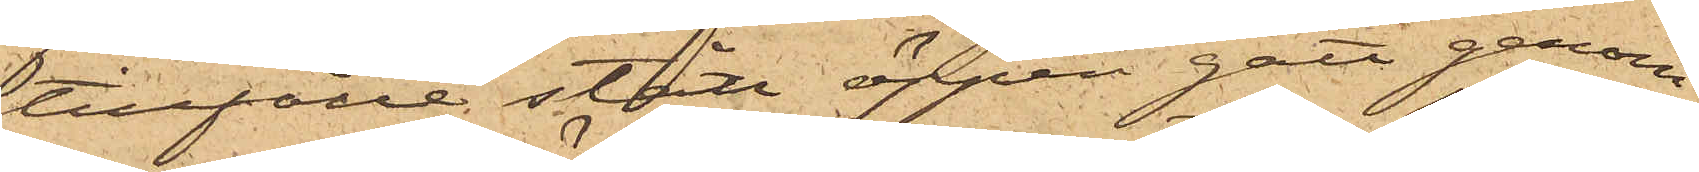tillfälle stått öppen gått genom
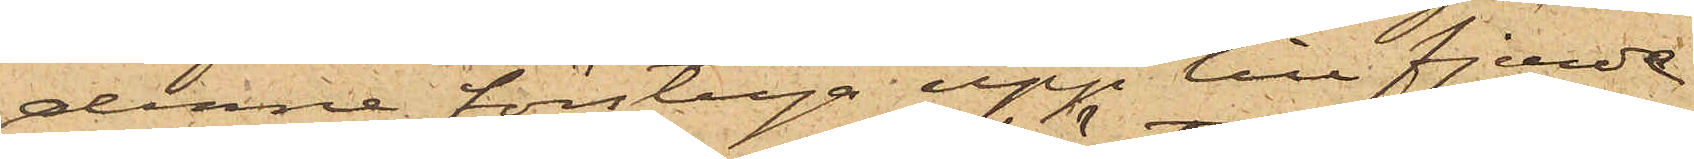denna förstuga upp till fjerde
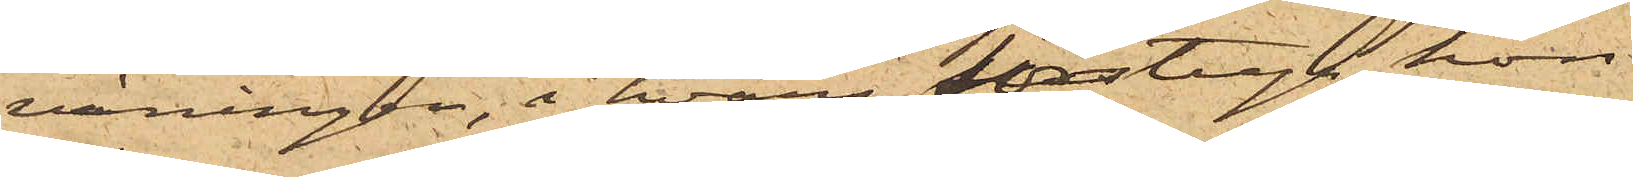våningen, i hvars förstuga hon
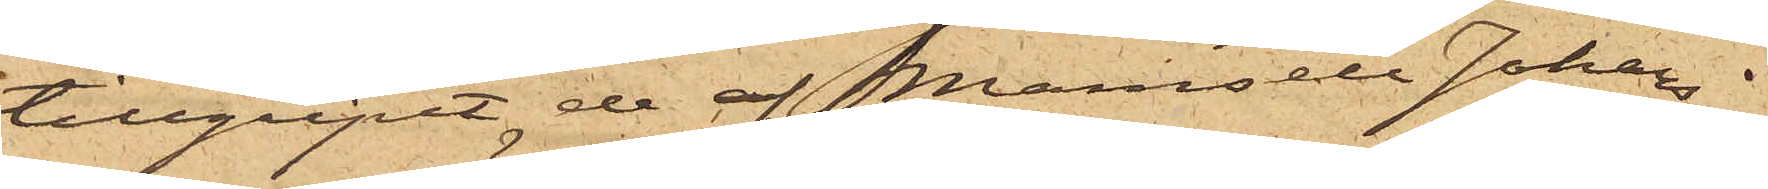tillgripit de af Mamsell Johans¬
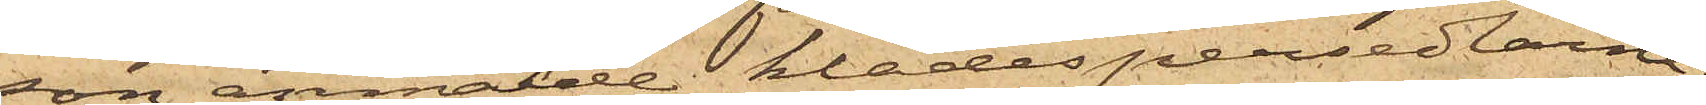son anmälde klädespersedlarne;
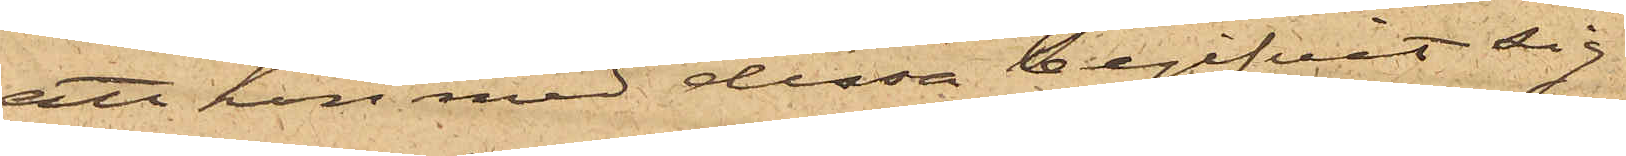att hon med dessa begifvit sig
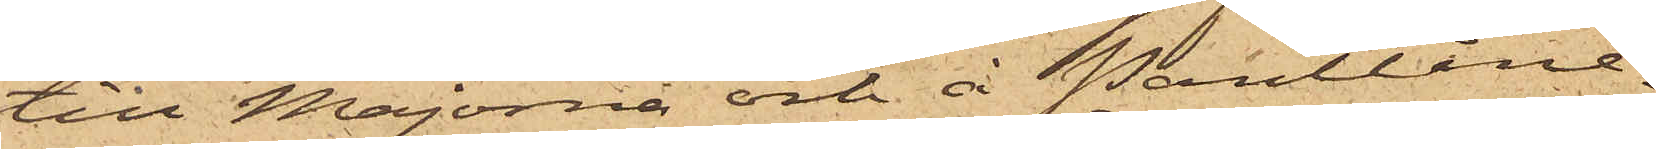till Majorna och å Pantlåne¬
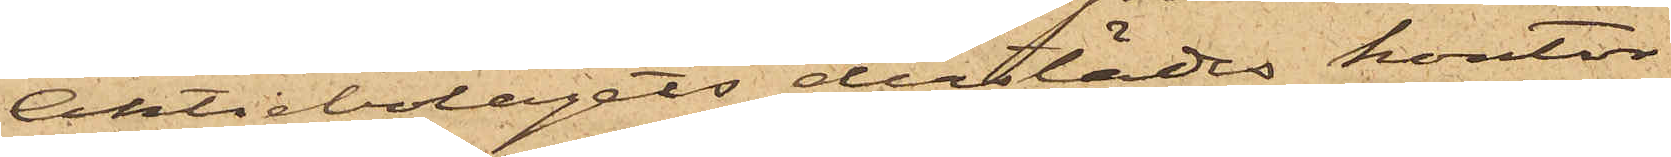Aktiebolagets derstädes kontor
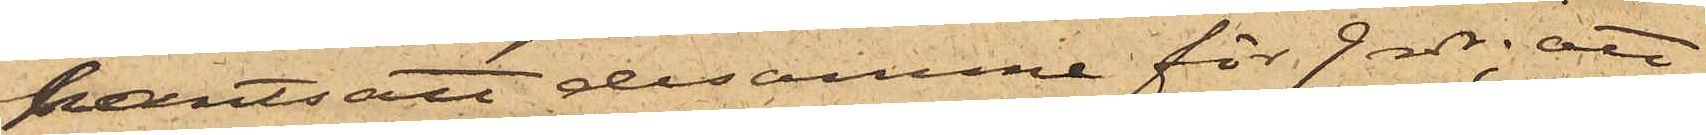pantsatt desamme för 9 rdr; att
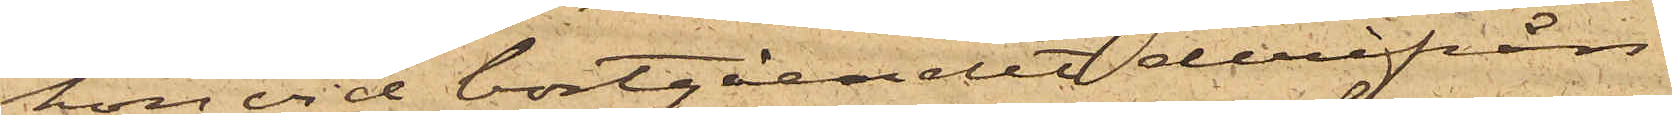hon vid bortgåendet derifrån
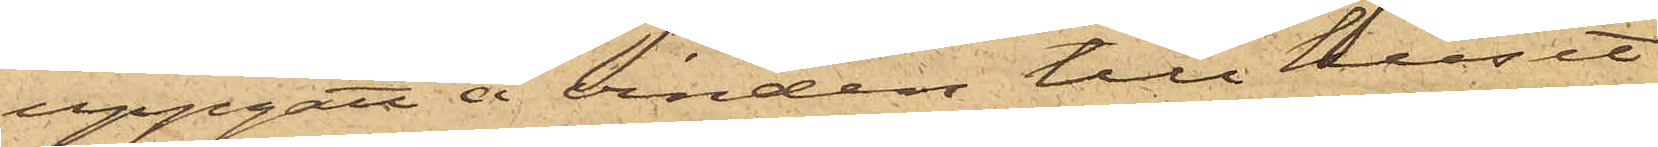uppgått å vinden till huset
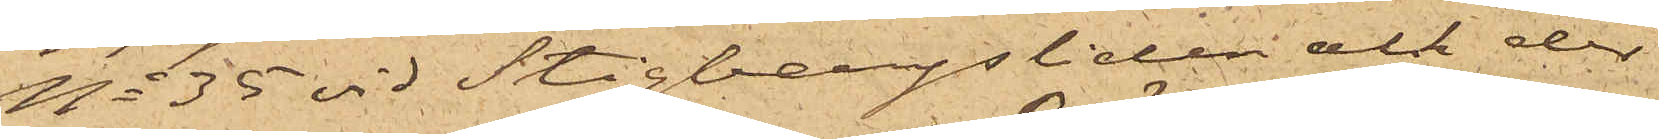No 35 vid Stigbergsliden och der
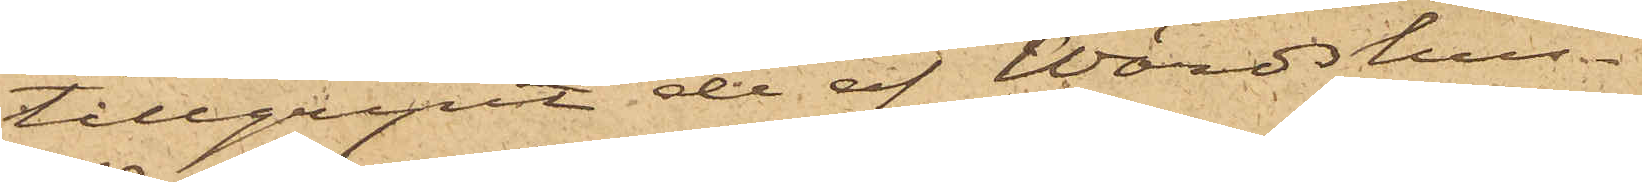tillgripit de af Wärdshus¬
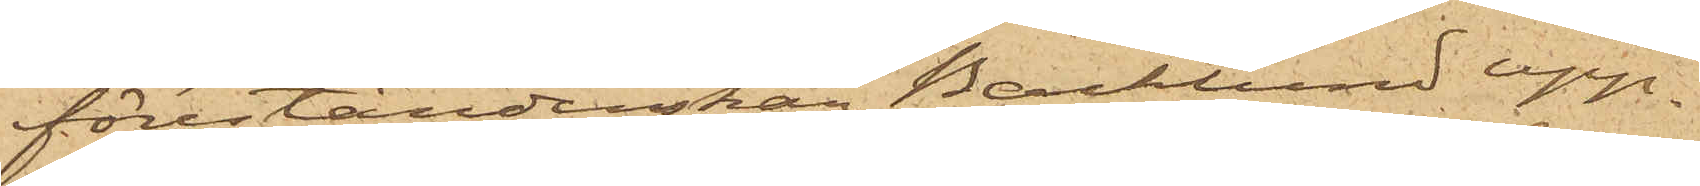förestånderskan Backlund upp¬
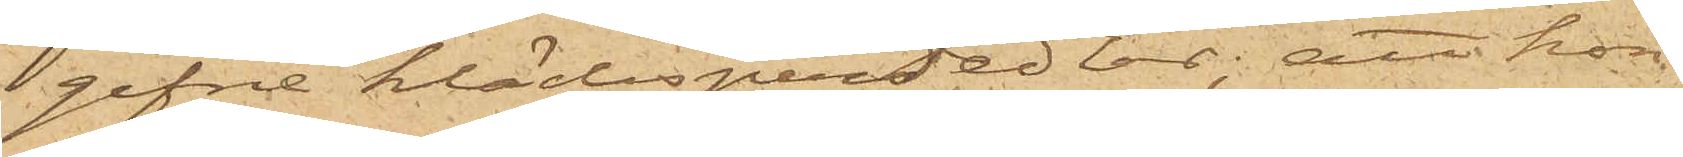gifne klädespersedlar; att hon
